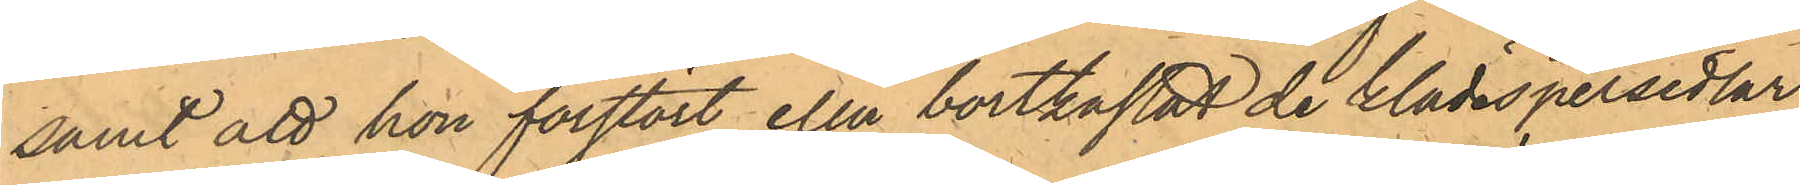samt att hon förstört eller bortkastat de klädespersedlar
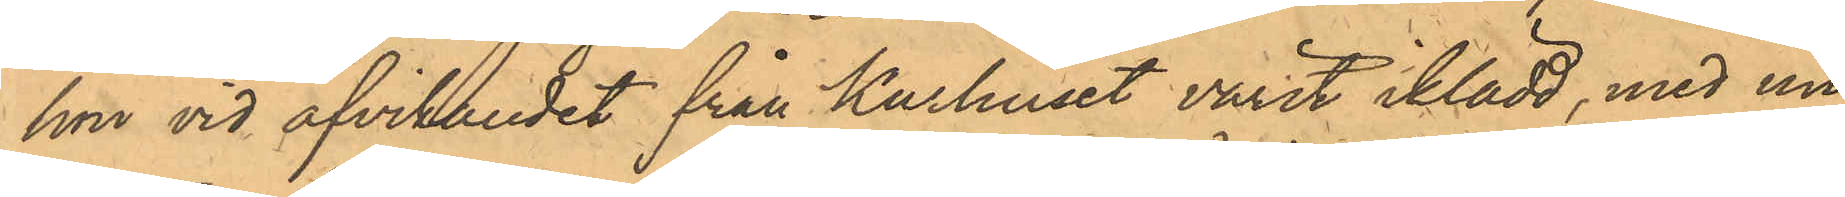hon vid afvikandet från Kurhuset varit iklädd, med un¬
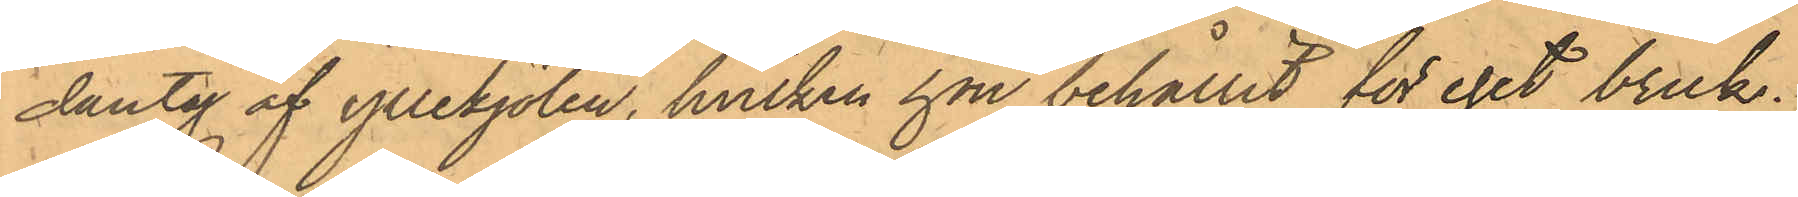dantag af yllekjolen, hvilken hon behållit för eget bruk.
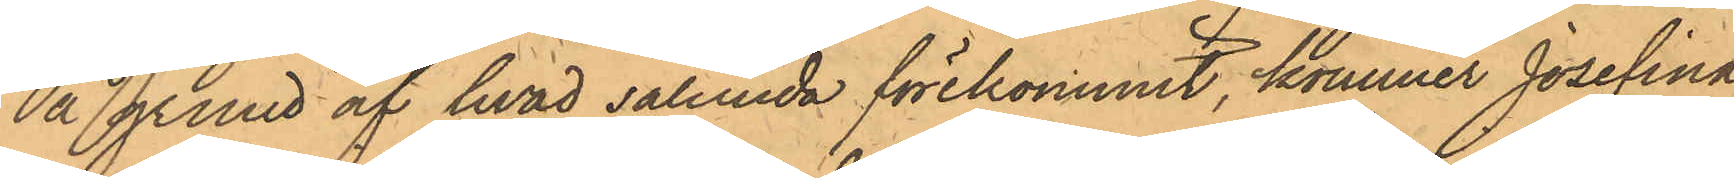På grund af hvad sålunda förekommit, kommer Josefina
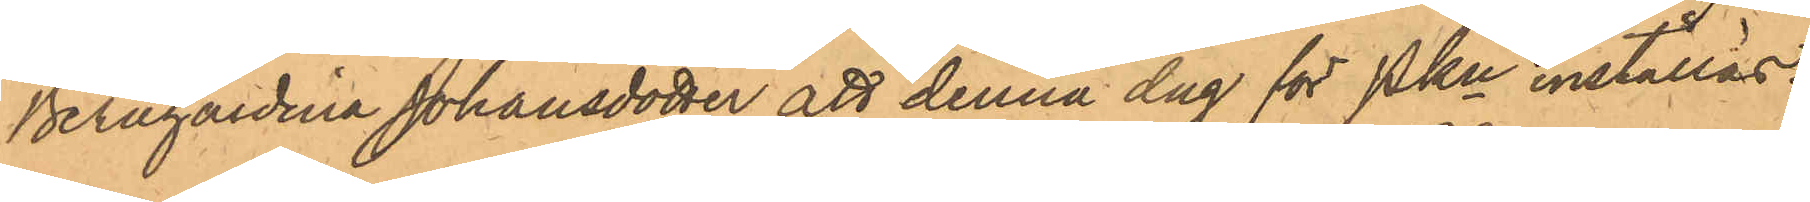Bernhardina Johansdotter att denna dag för Pkn inställas.
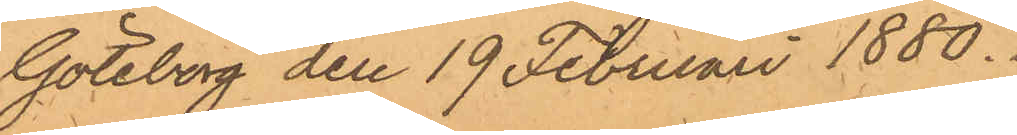Göteborg den 19 Februari 1880.
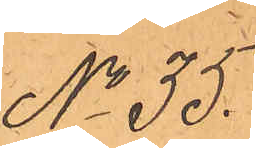No 35.
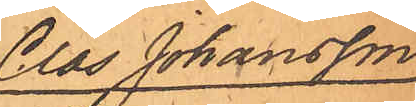Clas Johansson
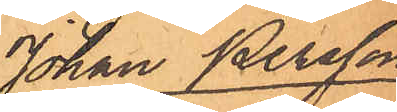Johan Persson
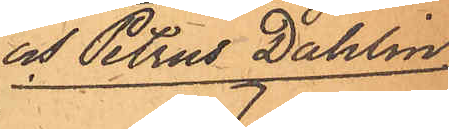och Petrus Dahlin
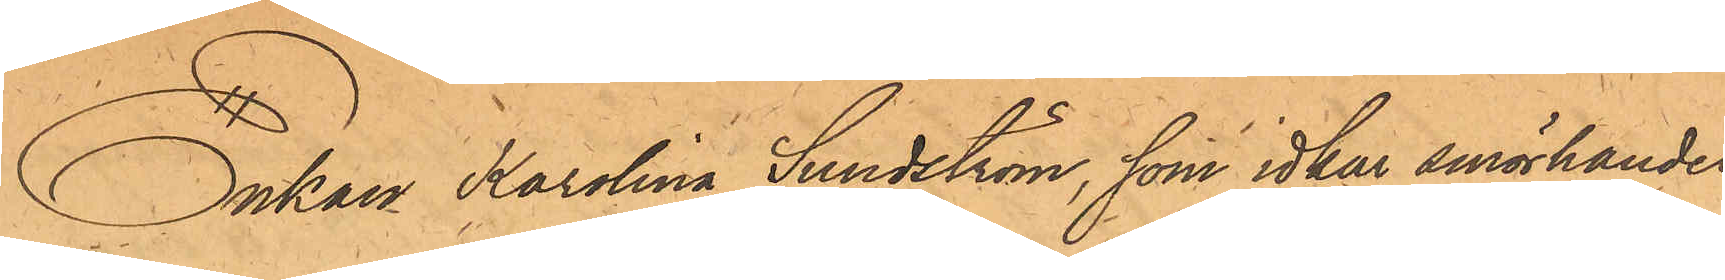Enkan Karolina Sundström, som idkar smörhandel
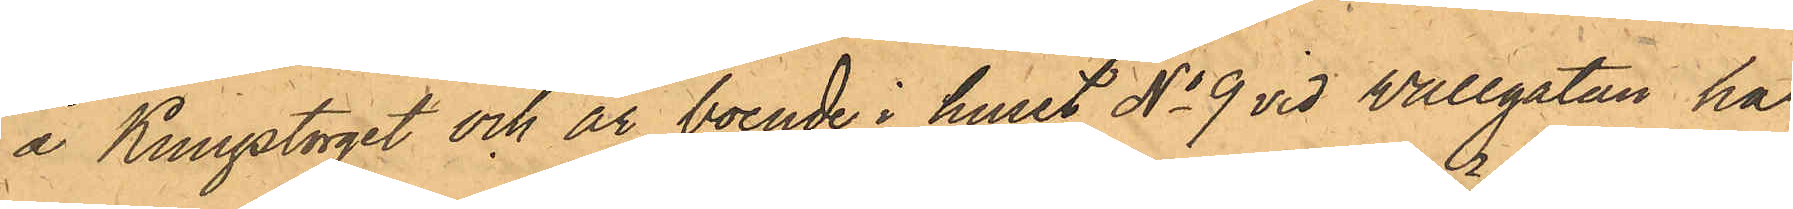å Kungstorget och är boende i huset No 9 vid Vallgatan har
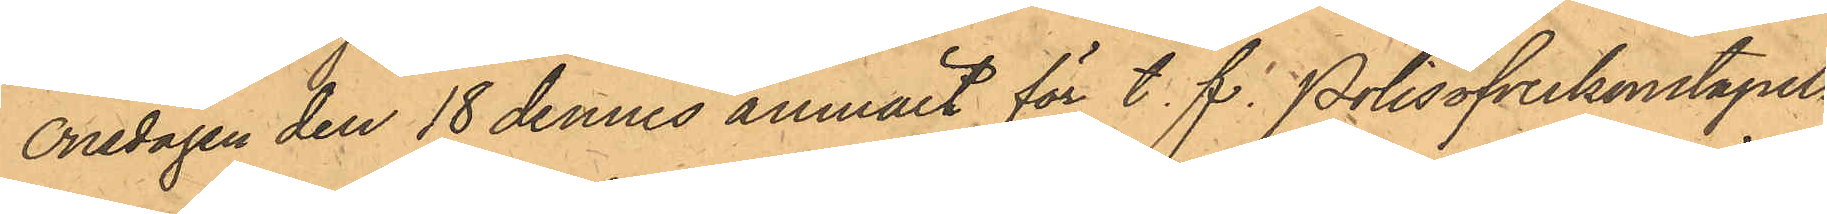onsdagen den 18 dennes anmält för t.f. Polisöfverkonstaplen
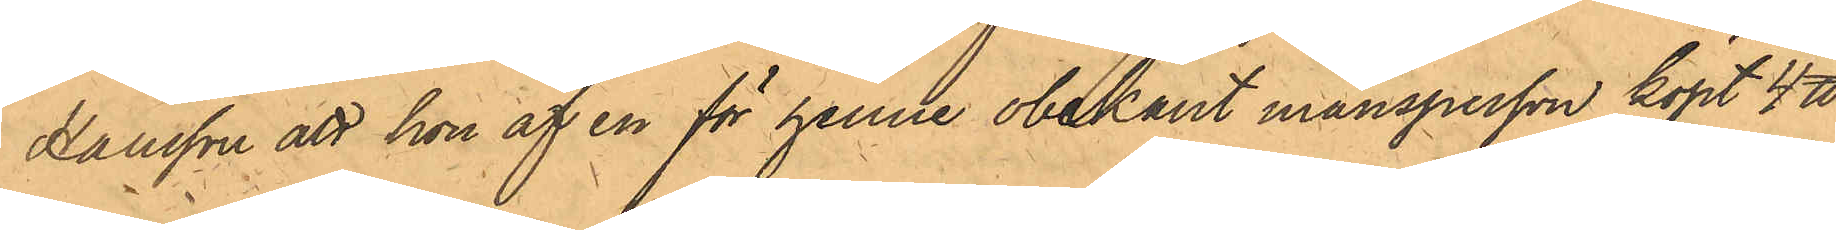Hansson att hon af en för henne obekant mansperson köpt 4 ℔
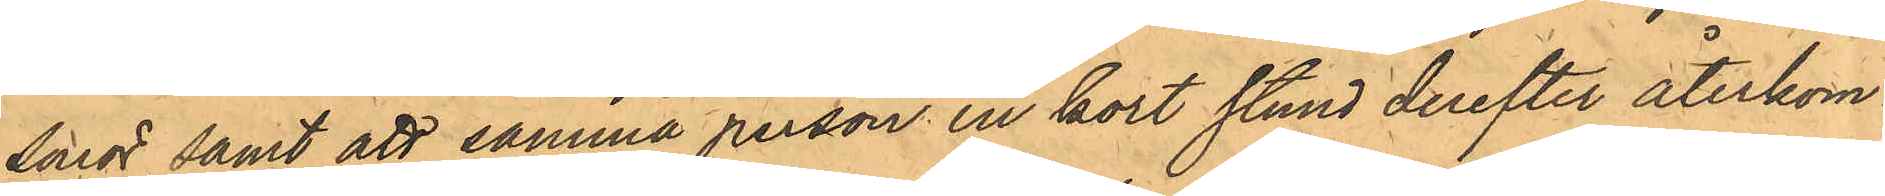smör, samt att samma person en kort stund derefter återkom¬
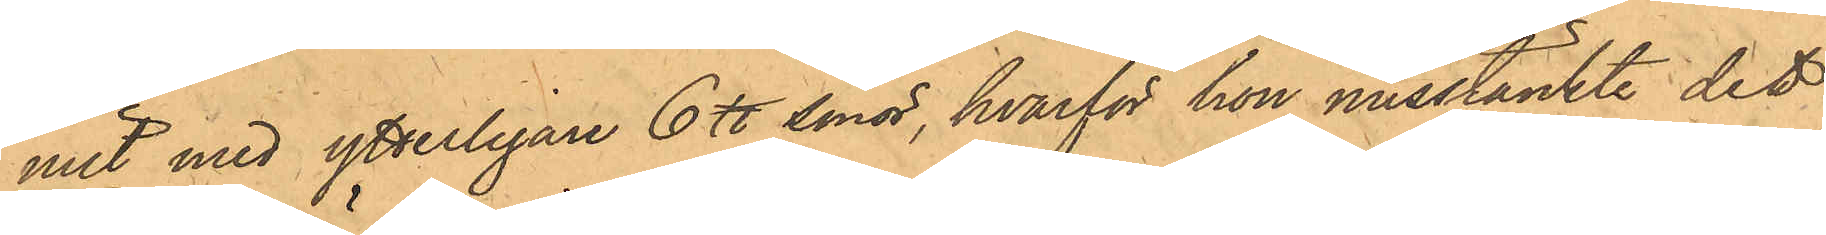mit med ytterligare 6 ℔ smör, hvarför hon misstänkte det
